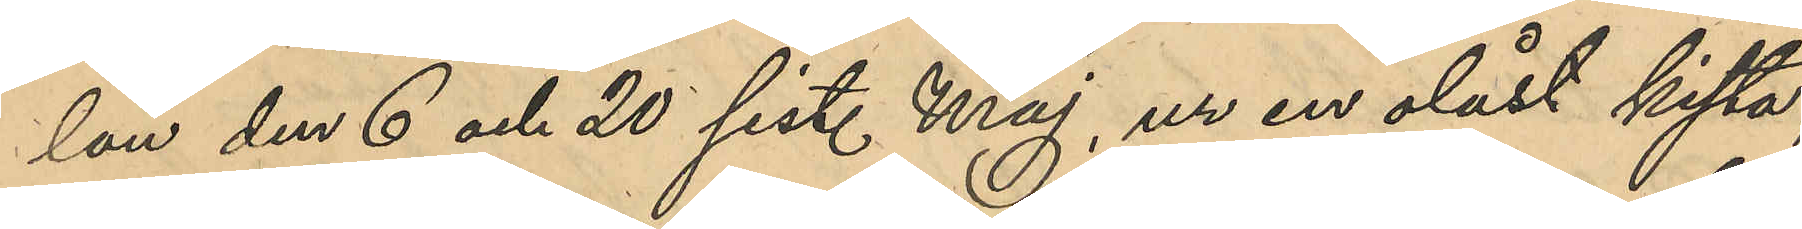lan den 6 och 20 sist. Maj, ur en olåst kista,
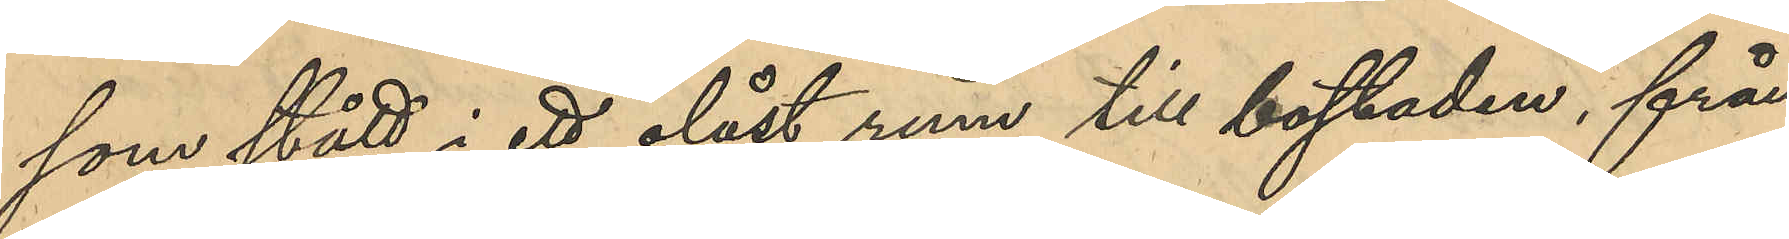som stått i ett olåst rum till bostaden, från
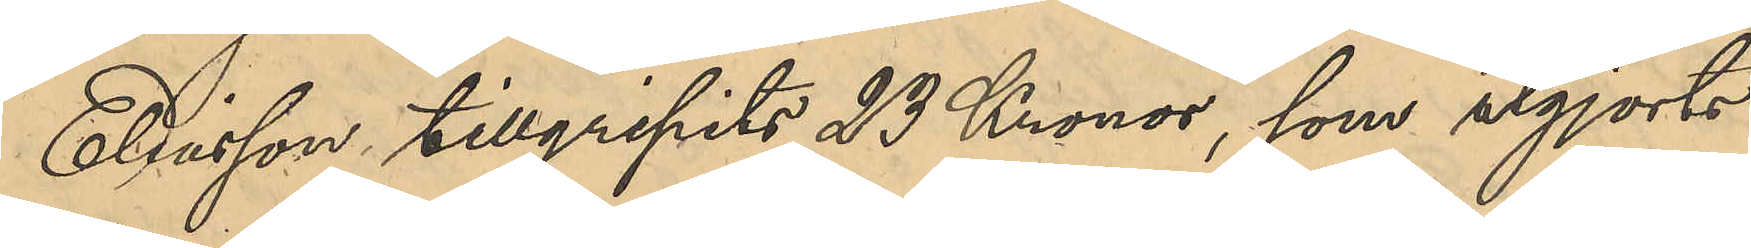Eliasson tillgripits 23 Kronor, som utgjorts
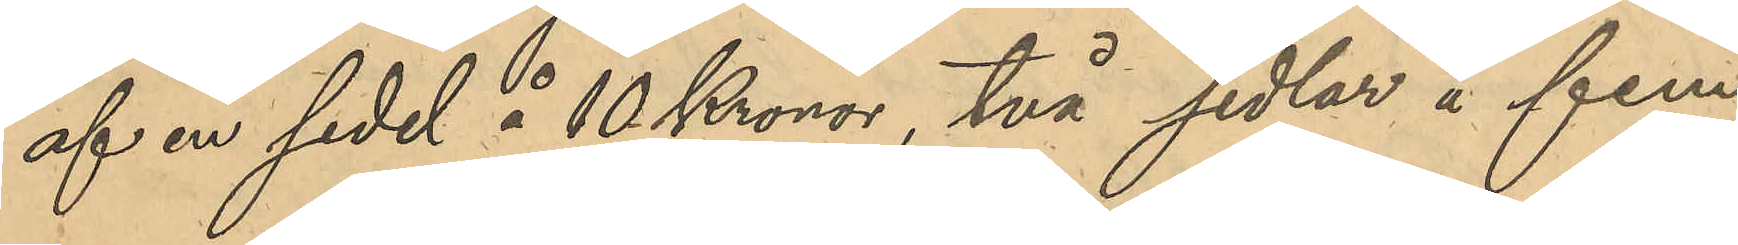af en sedel å 10 Kronor, två sedlar å fem
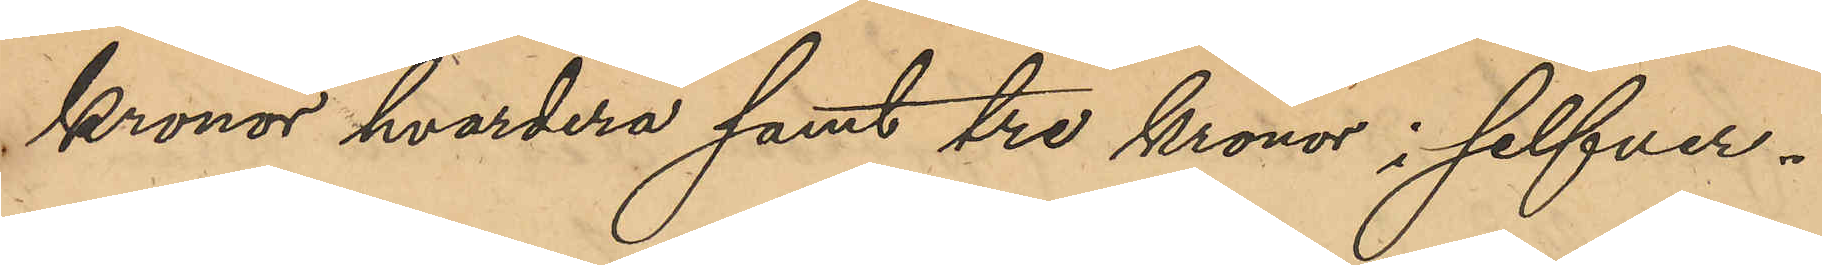kronor hvardera samt tre kronor i silfver¬
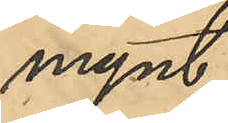mynt.
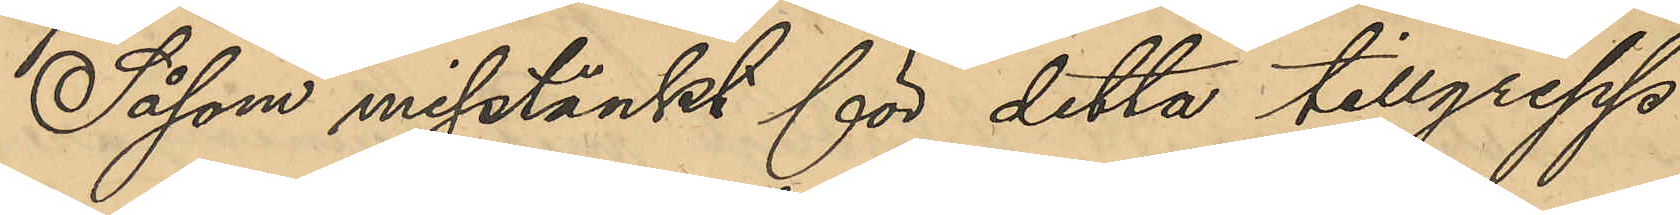Såsom misstänkt för detta tillgrepp
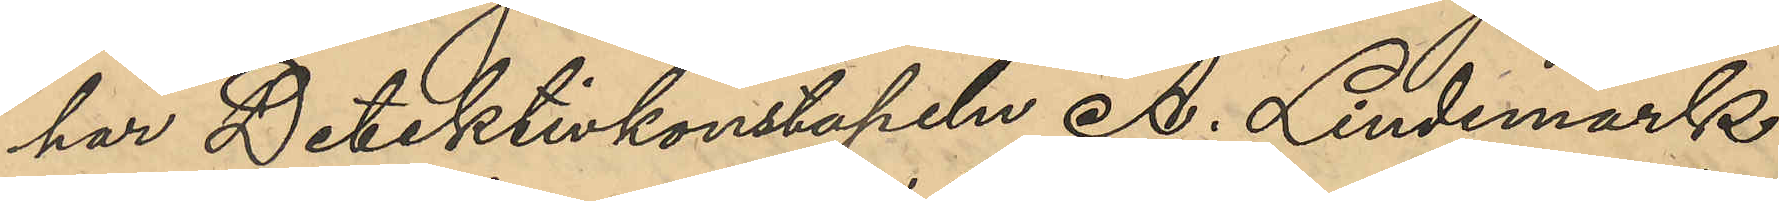har Detektivkonstapeln A. Lindemark
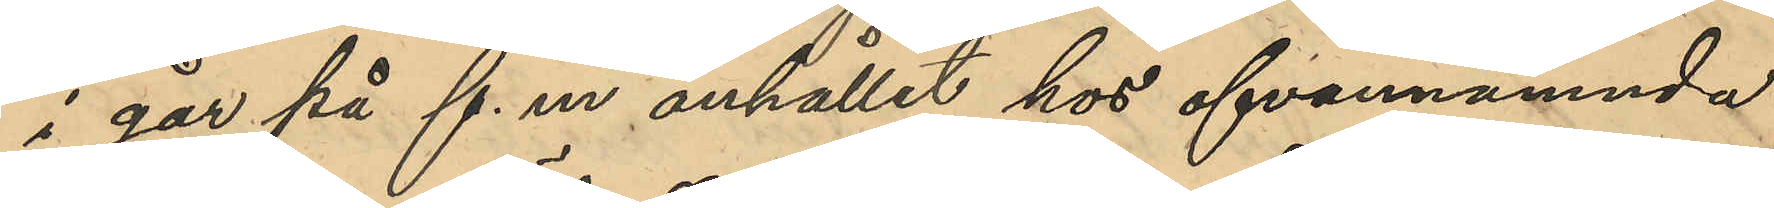i går på f. m. anhållit hos ofvannämnda
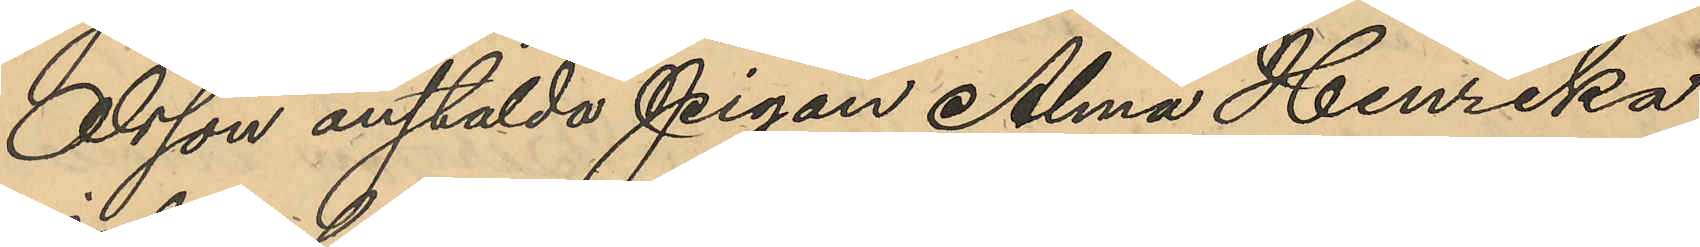Olsson anstälda pigan Alma Henrika
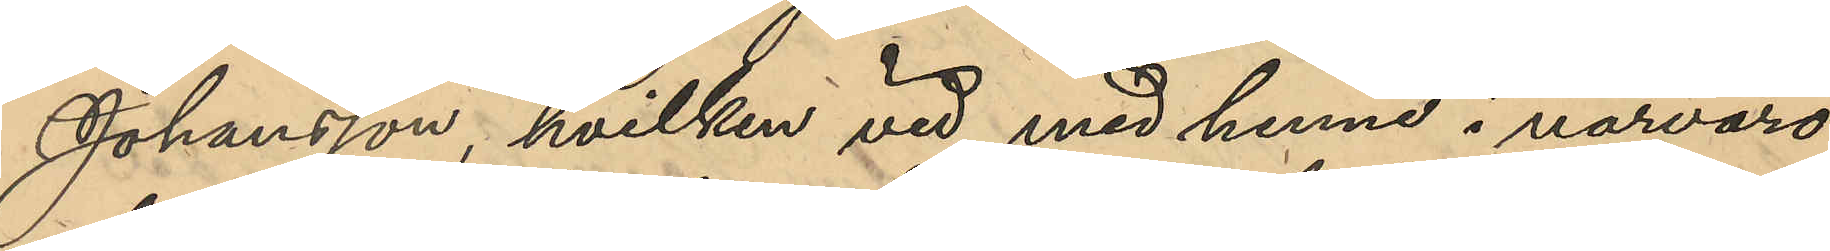Johansson, hvilken vid med henne i närvaro
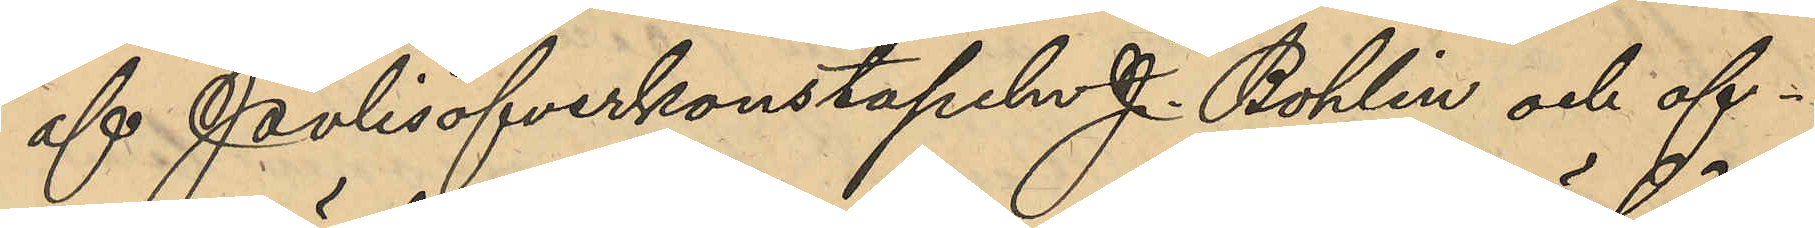af Polisöfverkonstapeln J. Bohlin och of¬
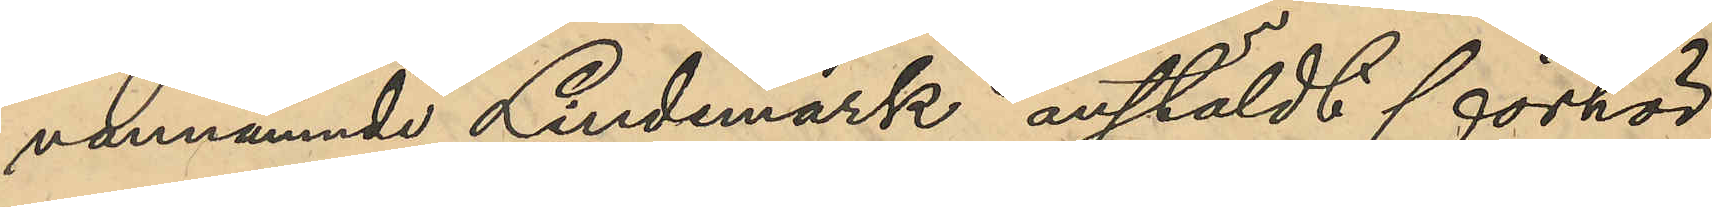vannämnde Lindemark anstäldt förhör
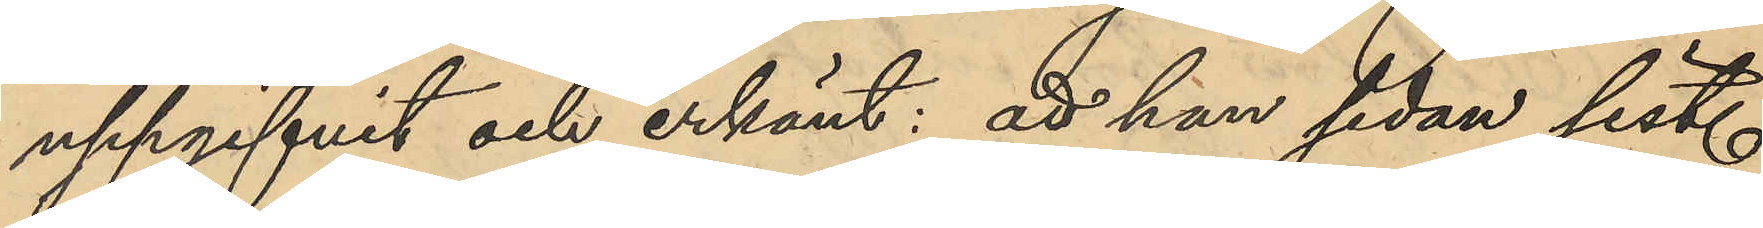uppgifvit och erkänt: att hon sedan sist.
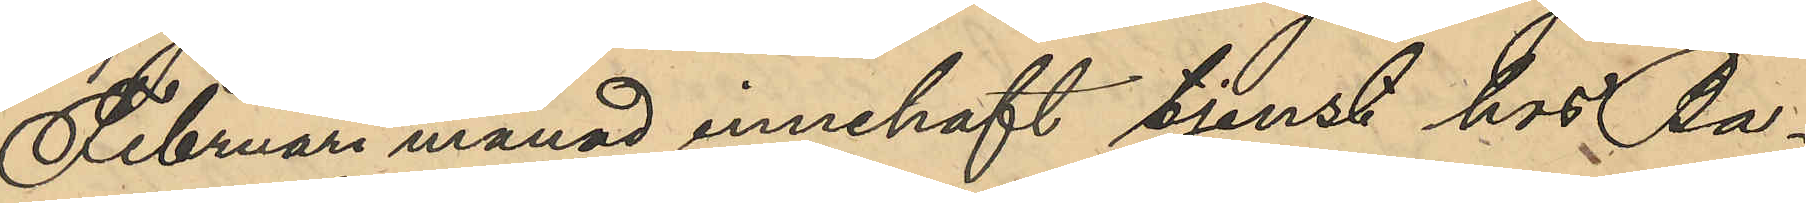Februari månad innehaft tjenst hos Ba¬
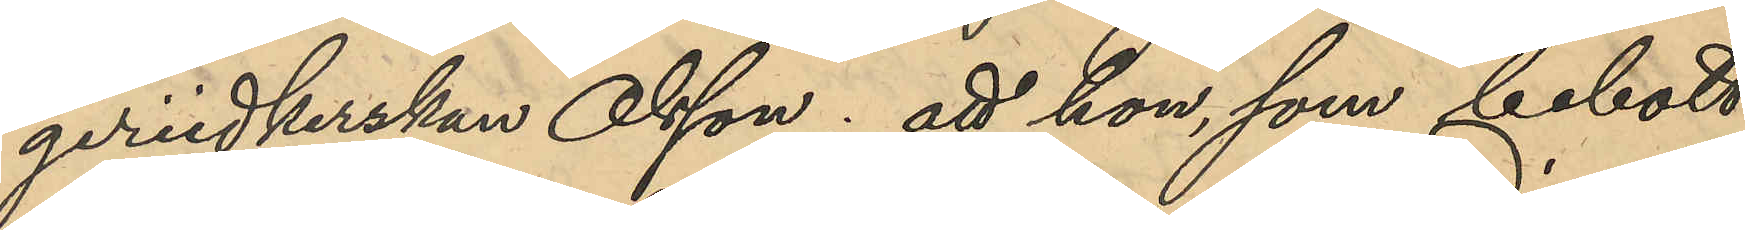geriidkerskan Olsson; att hon, som bebott
